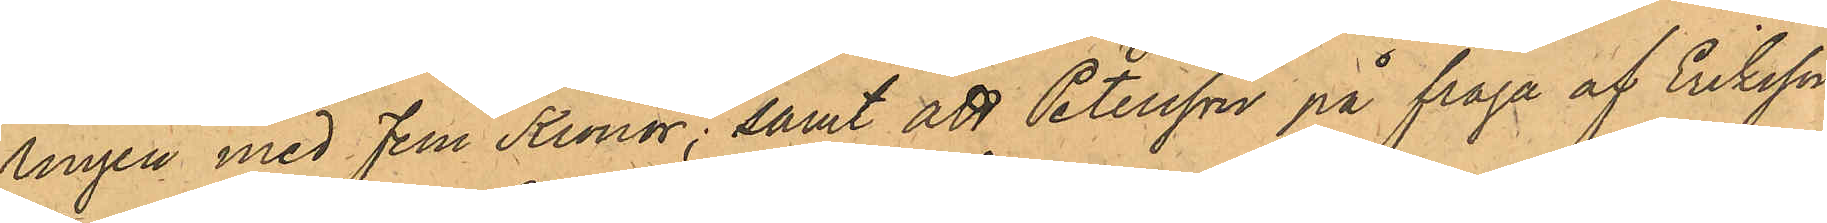ringen med Fem Kronor; samt att Petersson på fråga af Eriksson
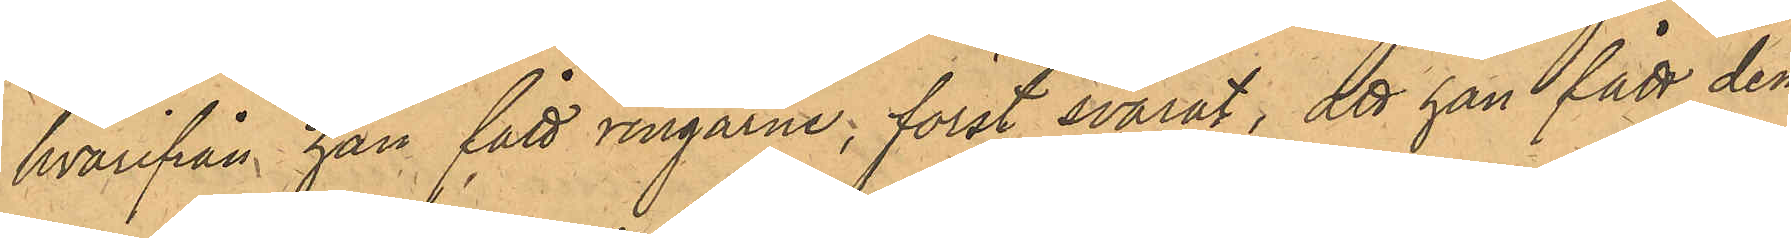hvarifrån han fått ringarne, först svarat, att han fått dem
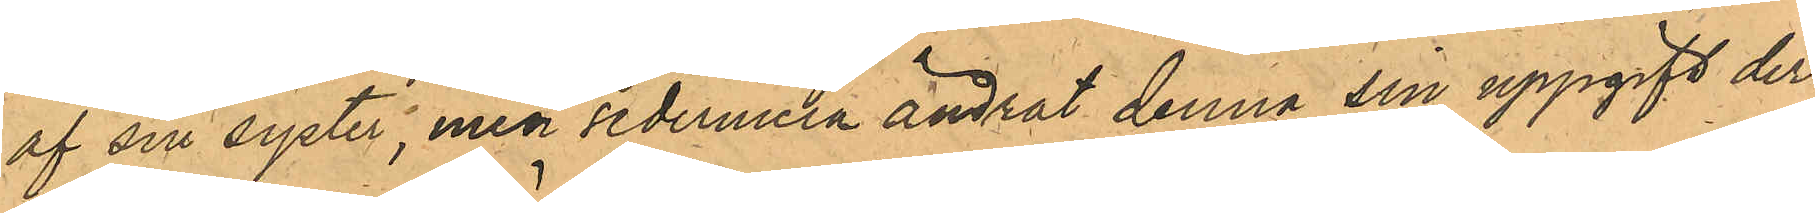af sin syster, men sedermera ändrat denna sin uppgift der¬
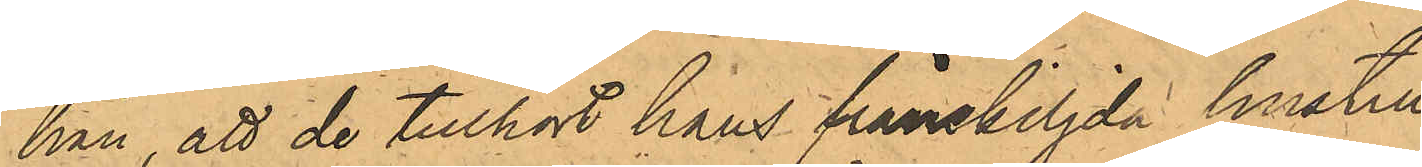hän, att de tillhört hans frånskiljda hustru;
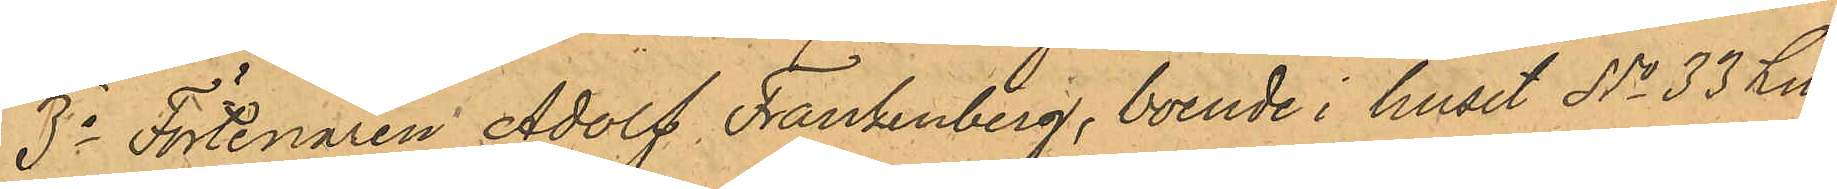3o Förtenaren Adolf Frankenberg, boende i huset No 33 Litt
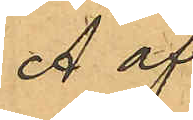A af
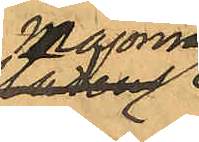Majornas
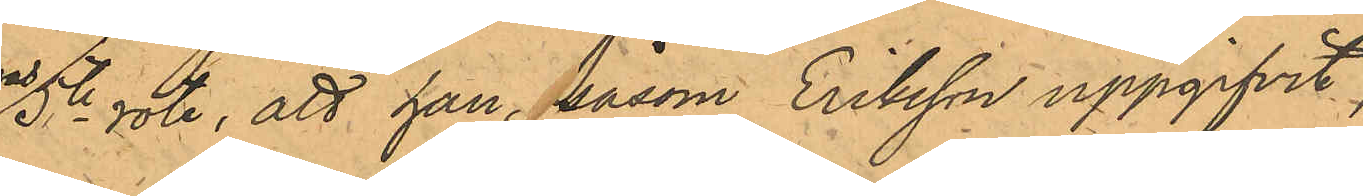5te rote, att han, såsom Eriksson uppgifvit,
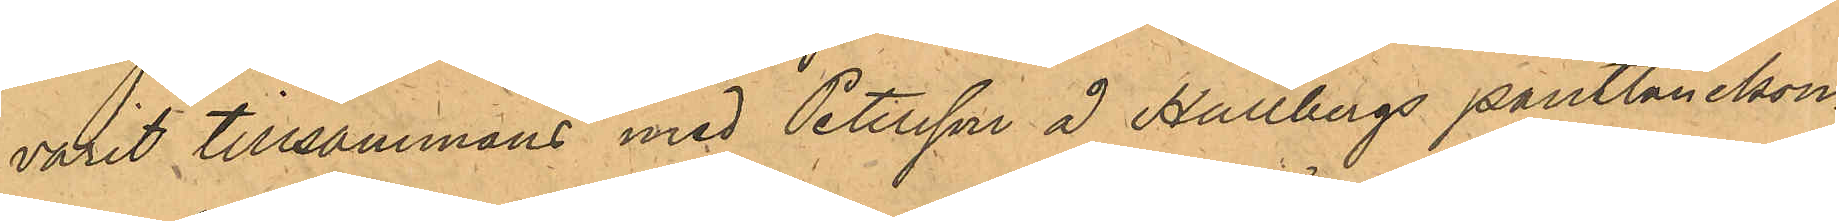varit tillsammans med Petersson å Hallbergs pantlånekon¬
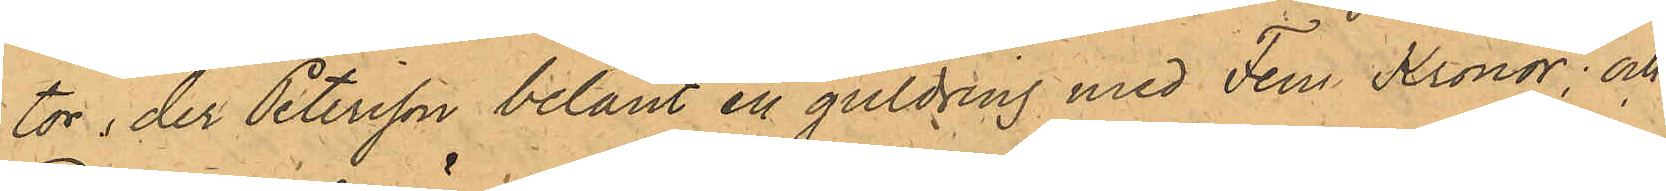tor, der Peterson belånt en guldring med Fem Kronor; och
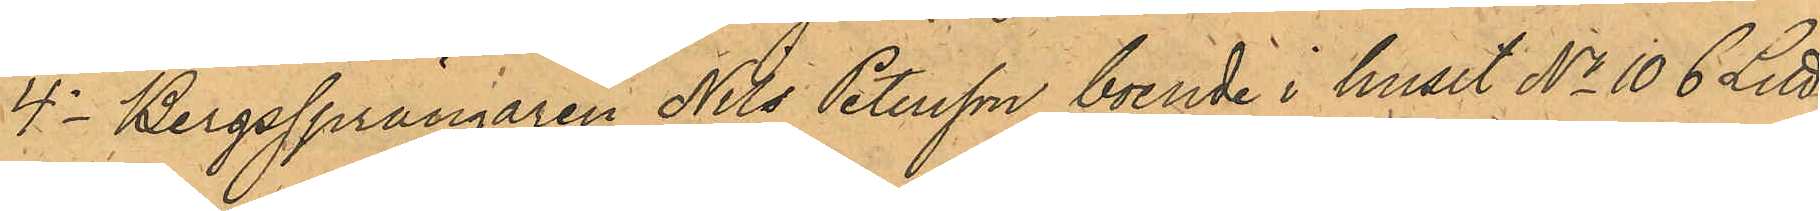4o Bergsprängaren Nils Petersson, boende i huset No 106 Litt
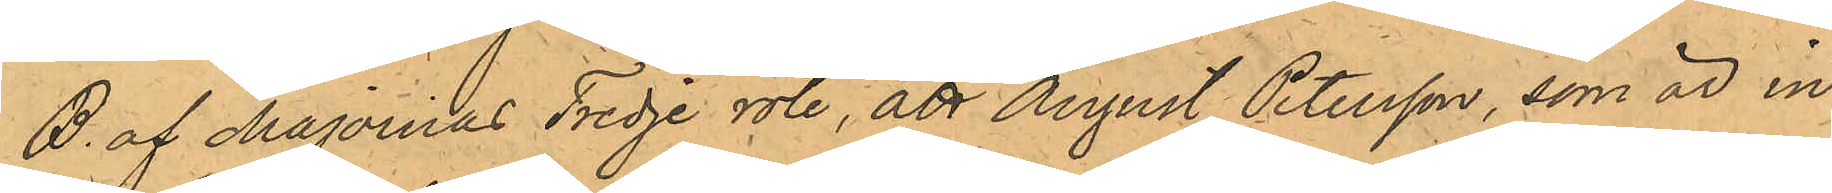B. af Majornas Tredje rote, att August Petersson, som är in¬
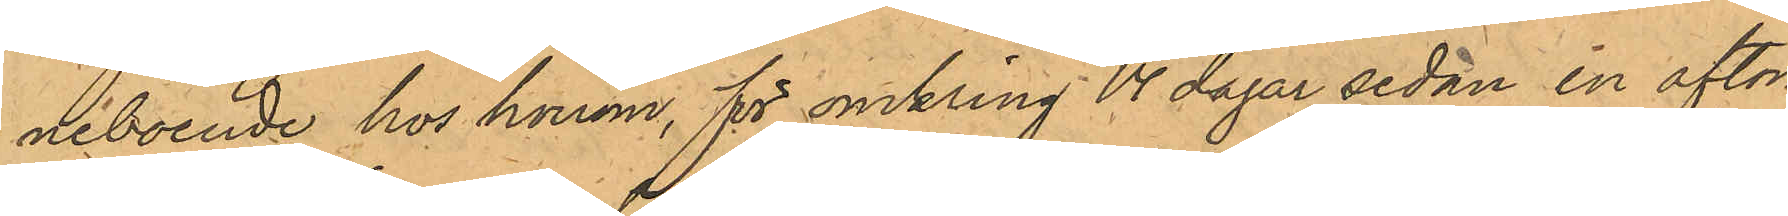neboende hos honom, för omkring 14 dagar sedan en afton
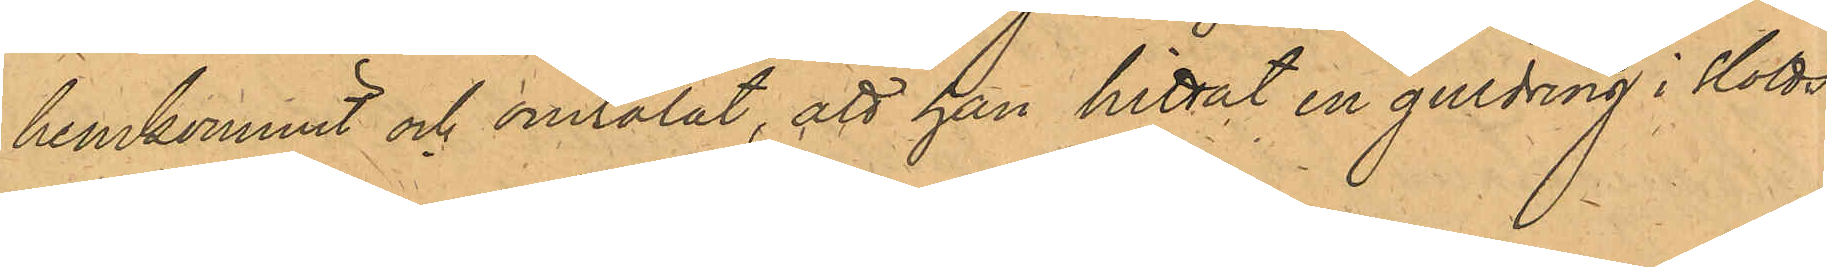hemkommit och omtalat, att han hittat en guldring i Slotts¬
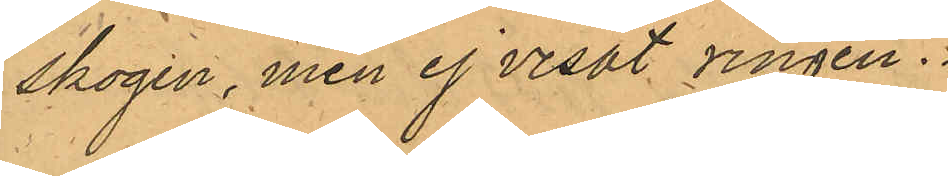skogen, men ej visat ringen.
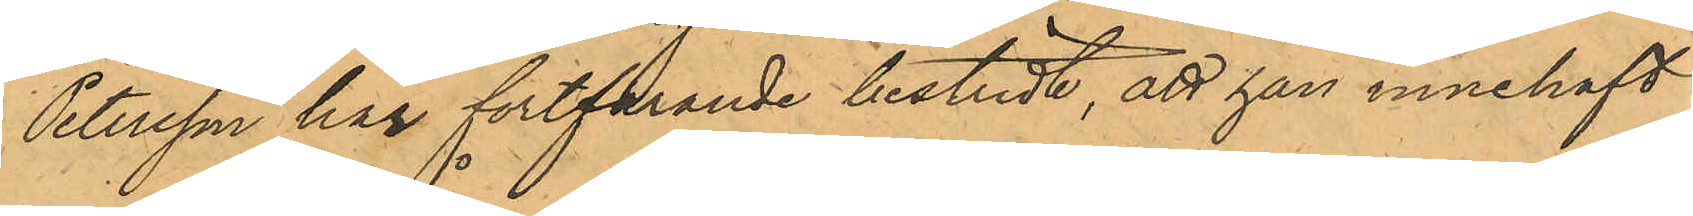Petersson har fortfarande bestridt, att han innehaft
